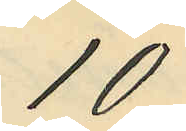10
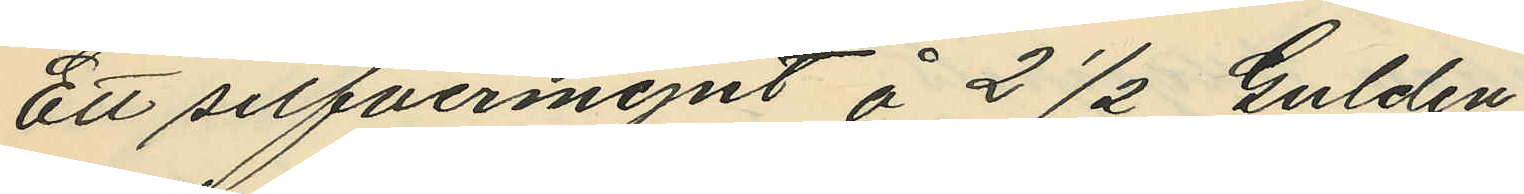Ett silfvermynt å 2 1/2 Gulden
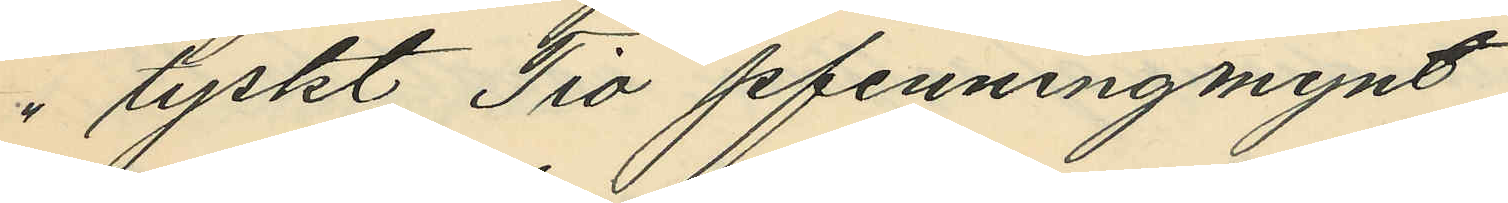" tyskt Tio pfenningmynt
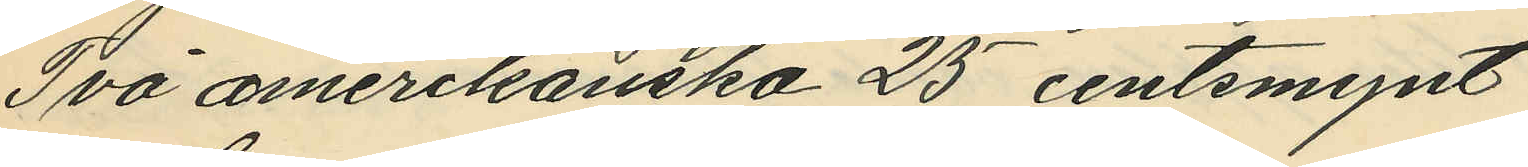Två amerikanska 25 centsmynt
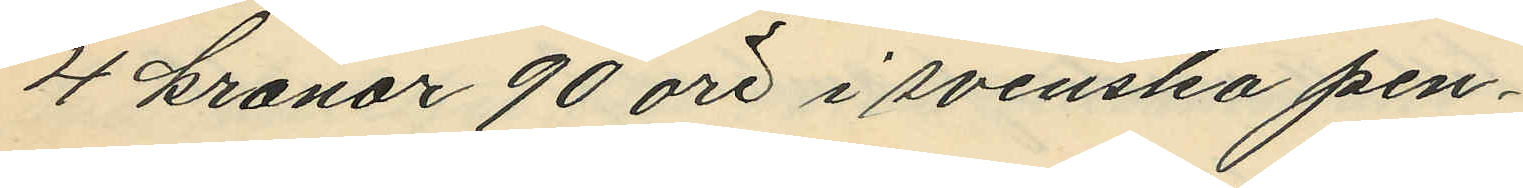4 kronor 90 öre i svenska pen¬
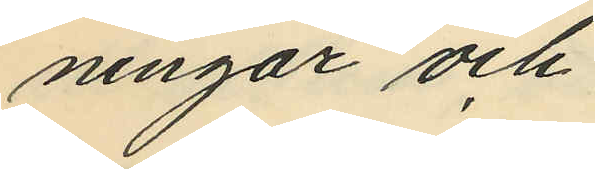ningar och
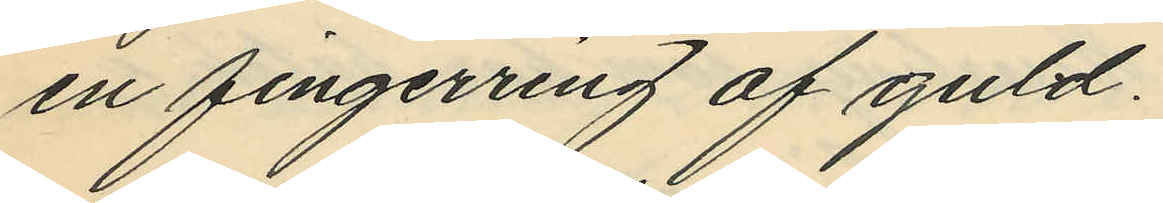en fingerring af guld.
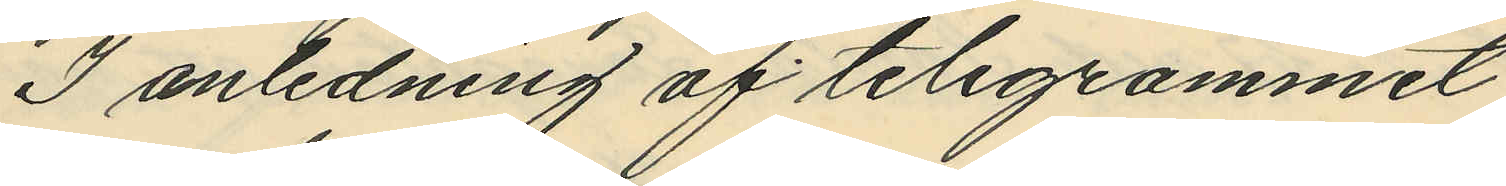I anledning af telegrammet
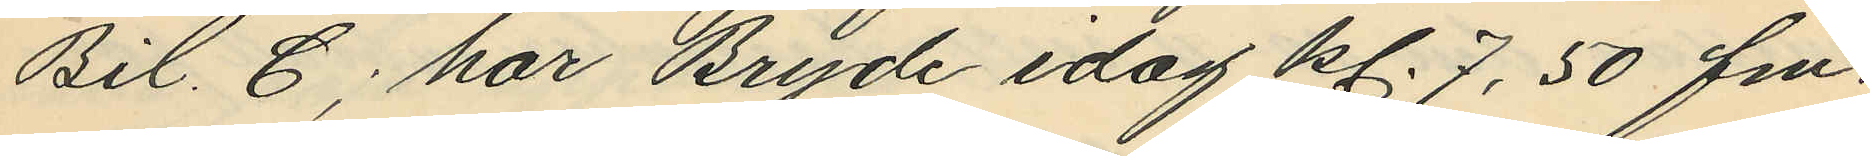Bil. C; har Bryde idag kl. 7,50 fm.
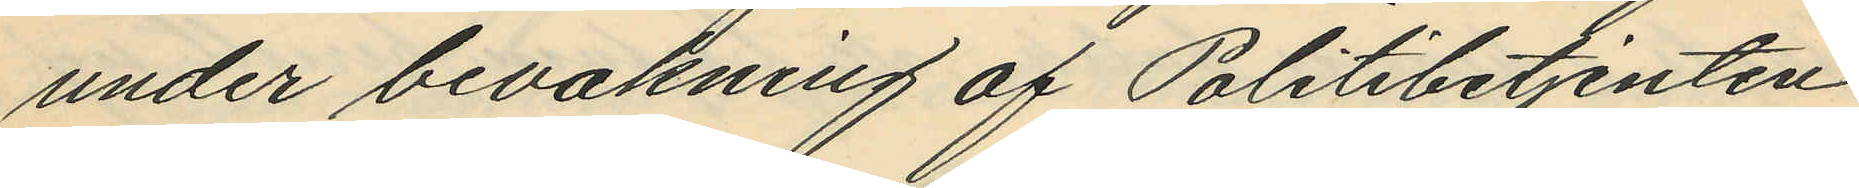under bevakning af Politibetjenten
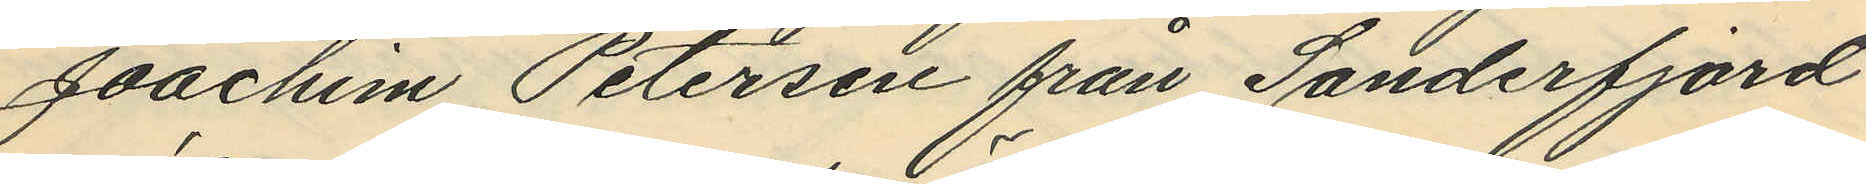Joachim Petersen från Sanderfjord
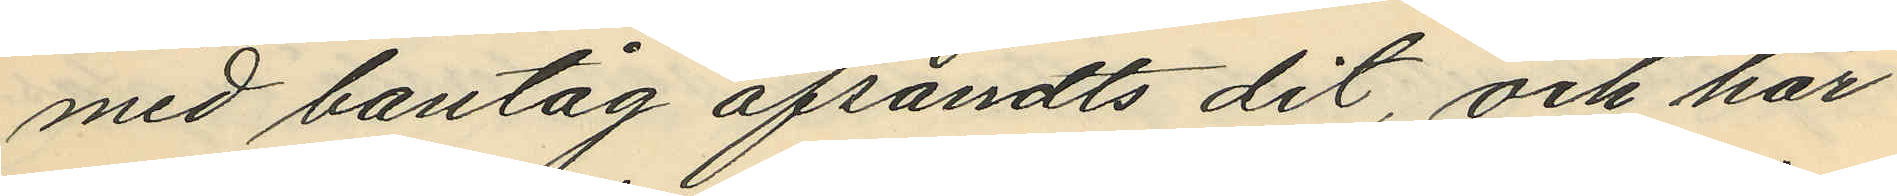med bantåg afsändts dit, och har
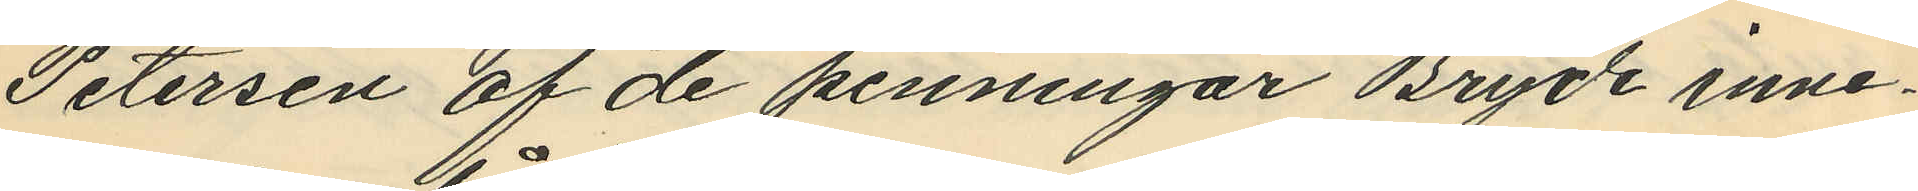Petersen af de penningar Bryde inne¬
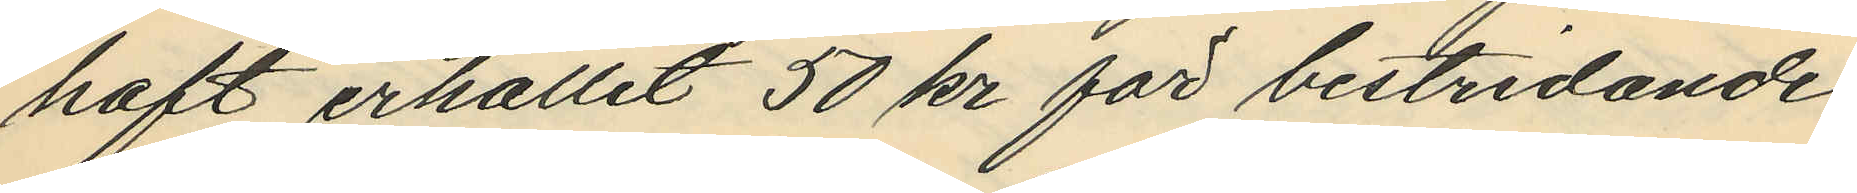haft erhållit 50 kr för bestridande
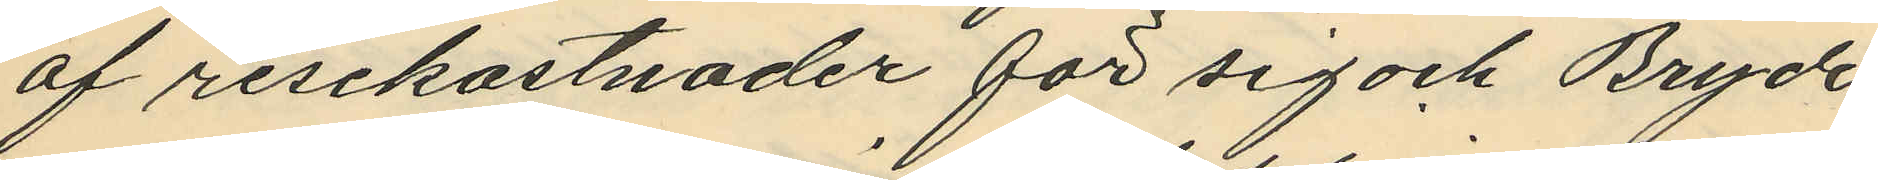af resekostnader för sig och Bryde
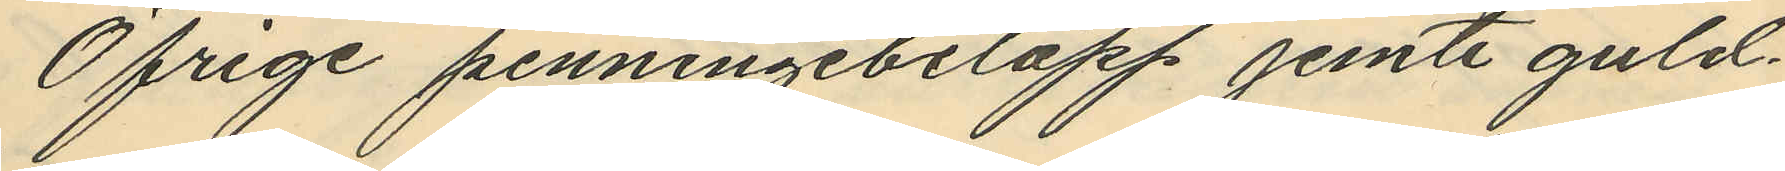Öfrige penningebelopp jemte guld¬
